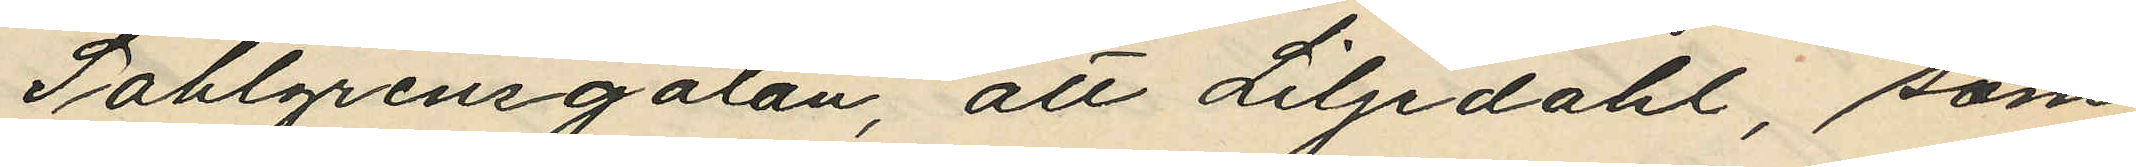Sahlgrensgatan, att Liljdahl, som
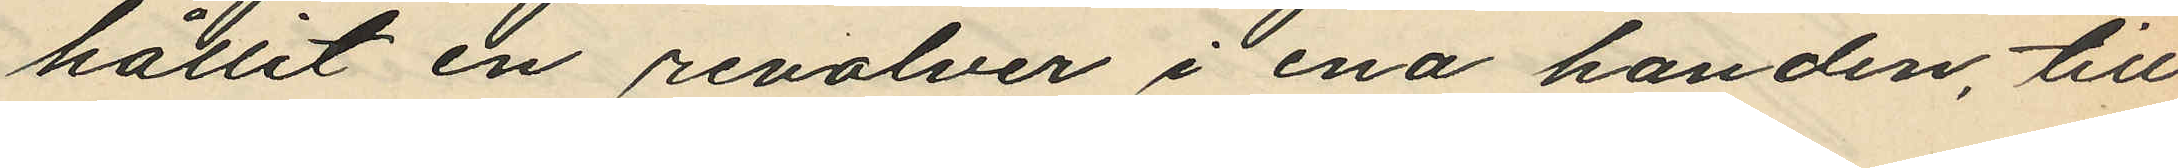hållit en revolver i ena handen, till
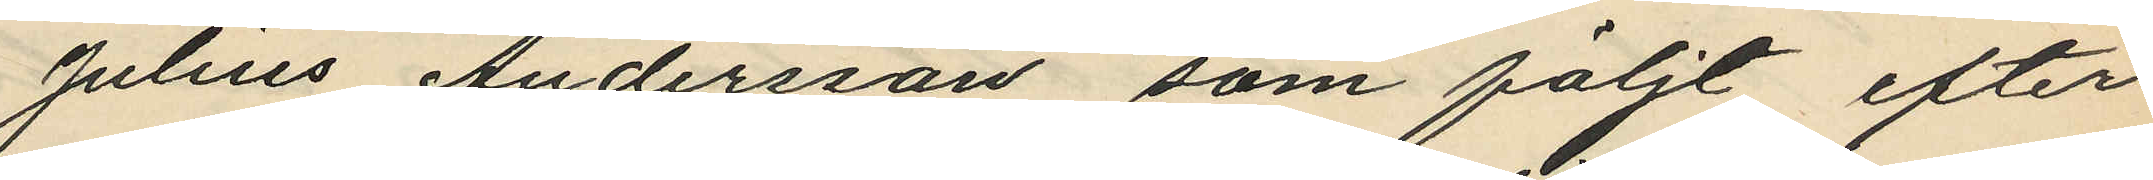Julius Andersson som följt efter
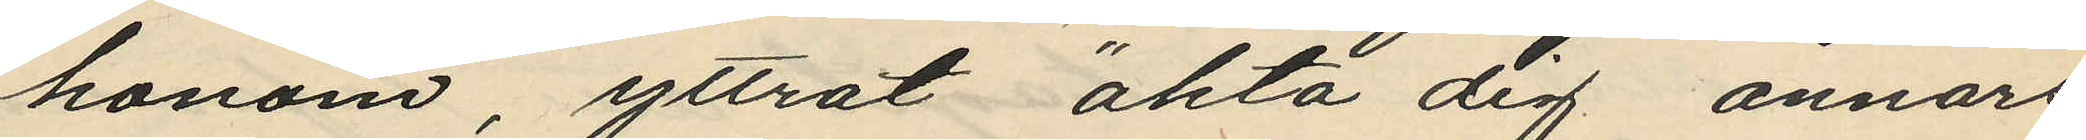honom, yttrat "akta dig annars
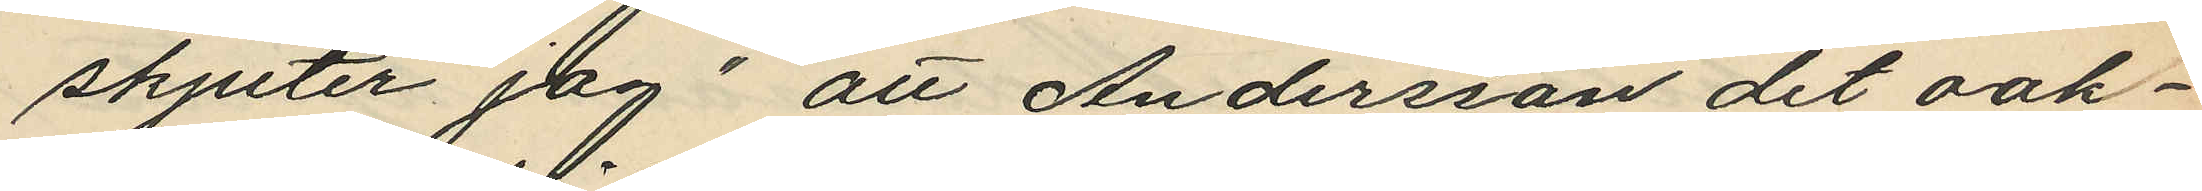skjuter jag" att Andersson det oak¬
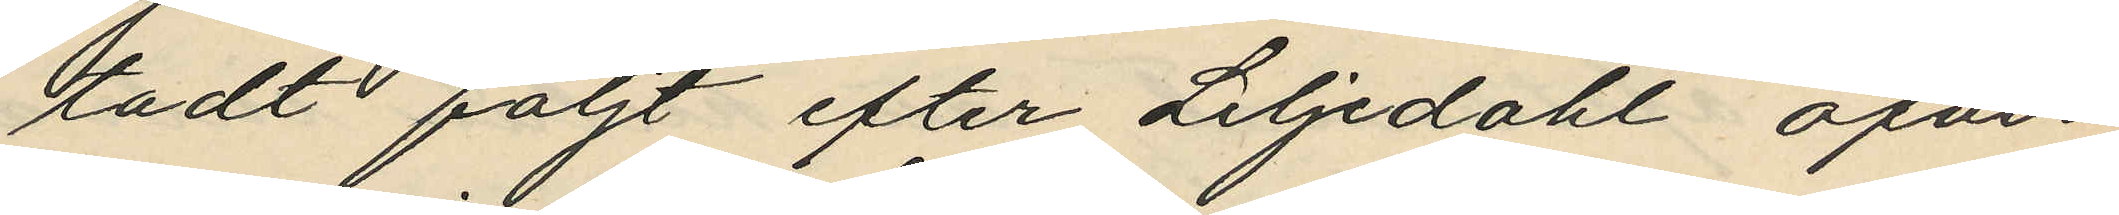tadt följt efter Liljedahl öfver
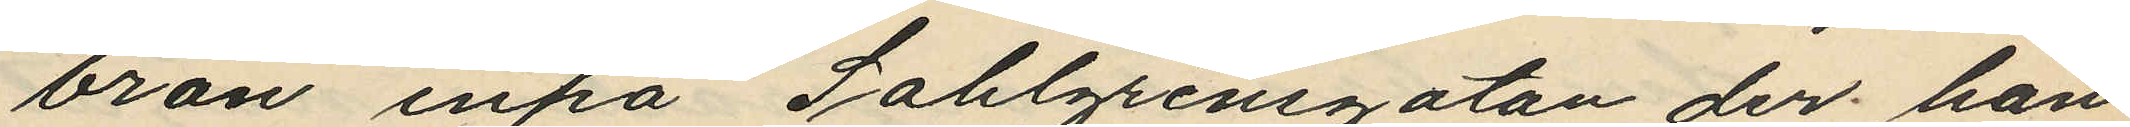bron inpå Sahlgrensgatan der han
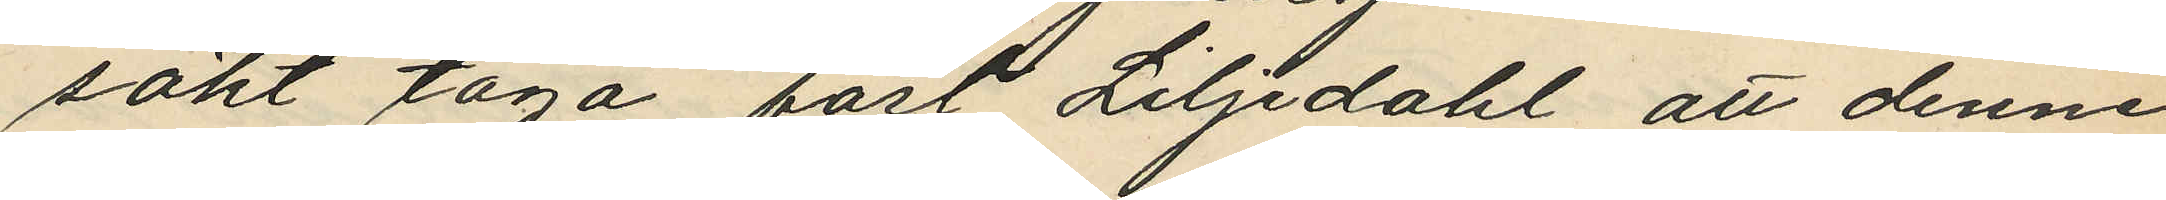sökt taga fast Liljdahl att denne
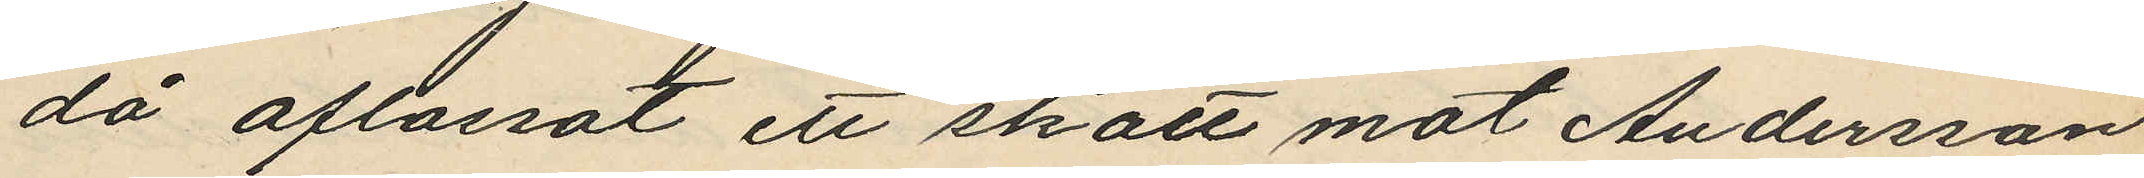då aflossat ett skott mot Andersson
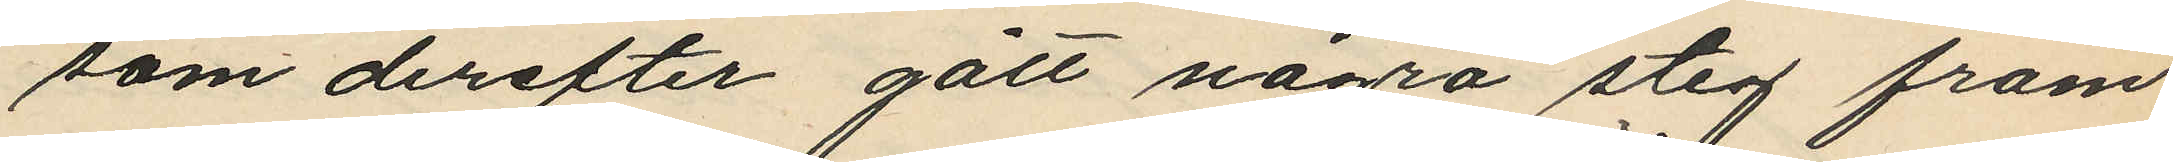som derefter gått några steg fram
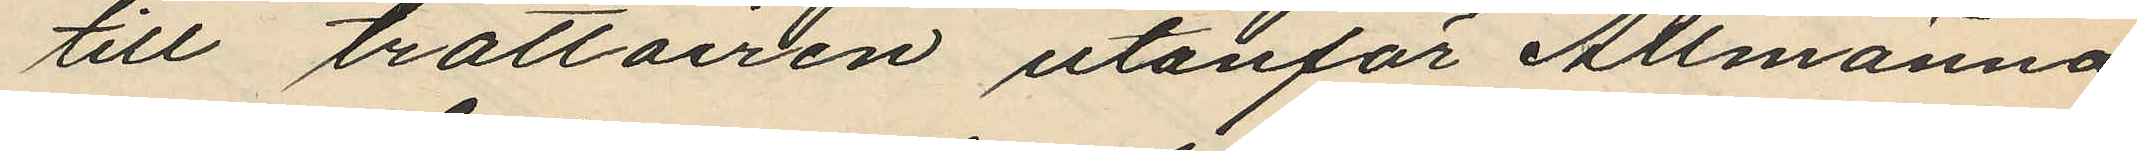till trottoiren utanför Allmänna
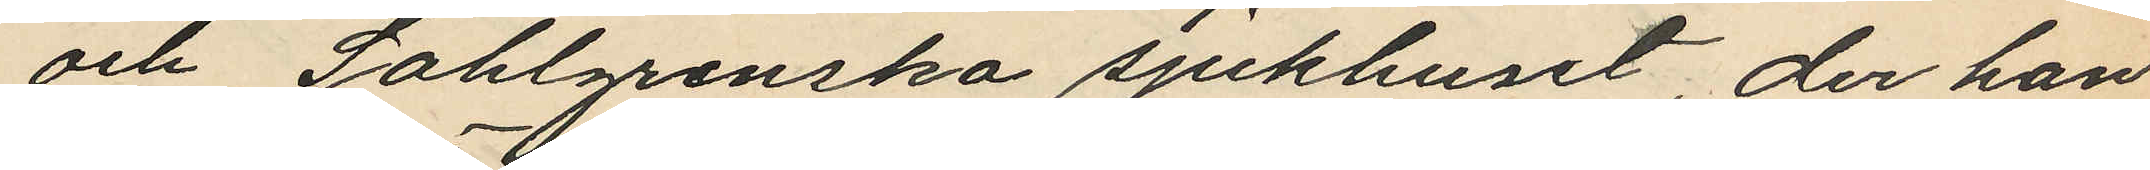och Sahlgrenska sjukhuset, der han
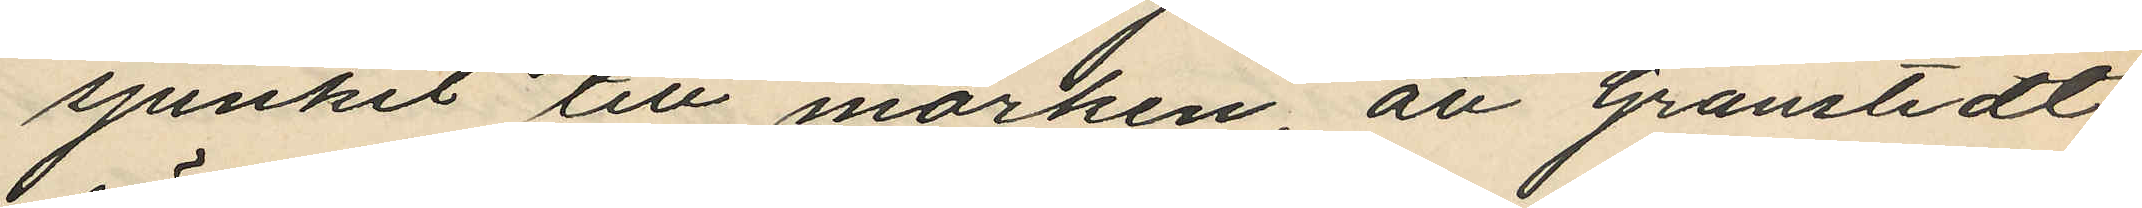sjunkit till marken, att Granstedt
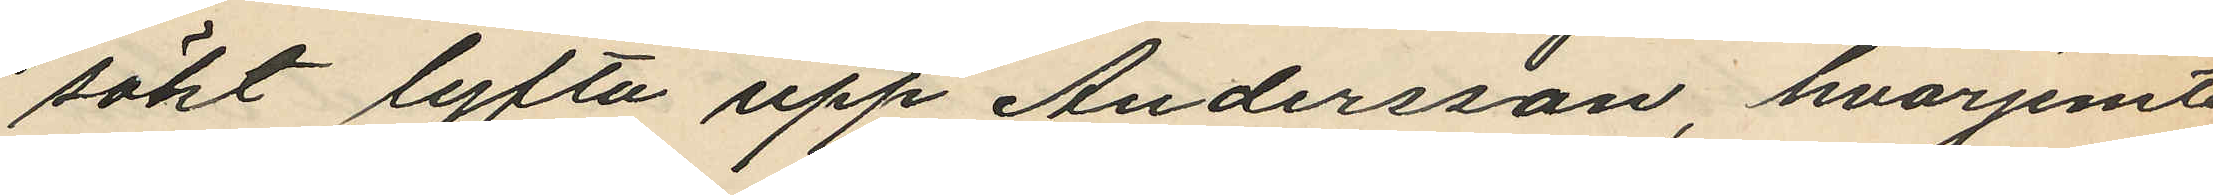sökt lyfta upp Andersson, hvarjemte
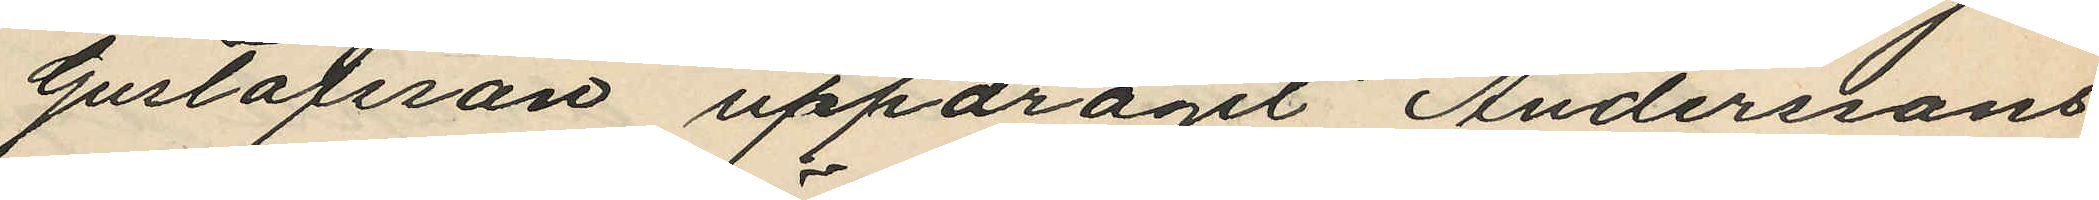Gustafsson uppdragit Anderssons
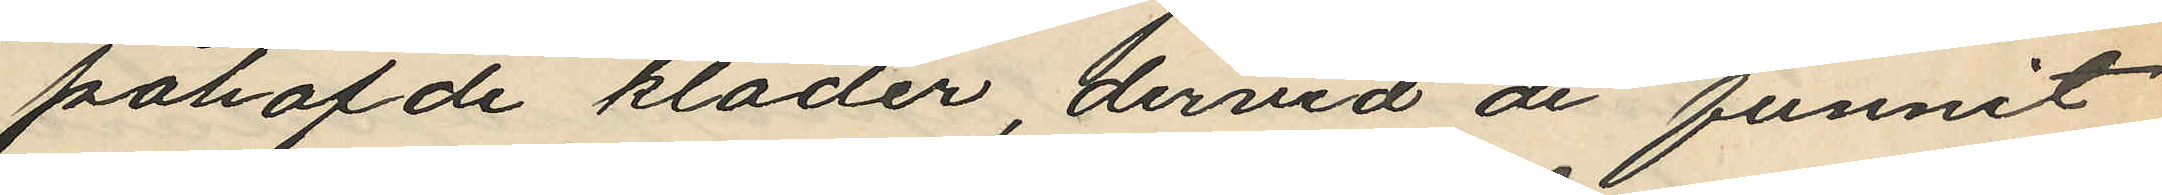påhafde kläder, dervid de funnit
